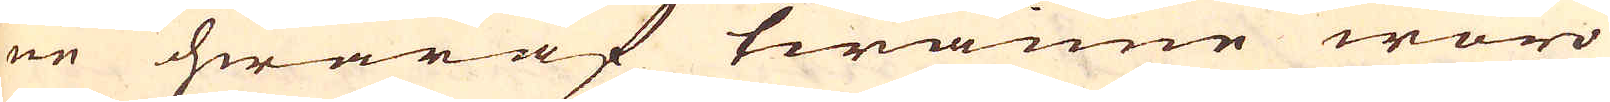ne hwaraf twänne woro
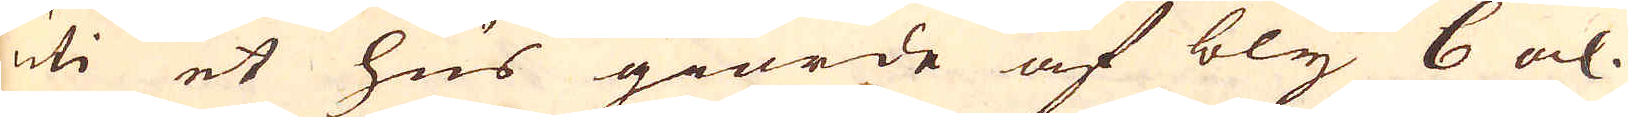uti et hus giorde af bly 6 al.
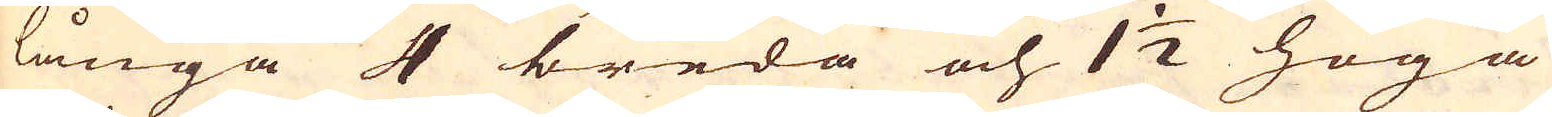långa 4 breda och 1 1/2 höga
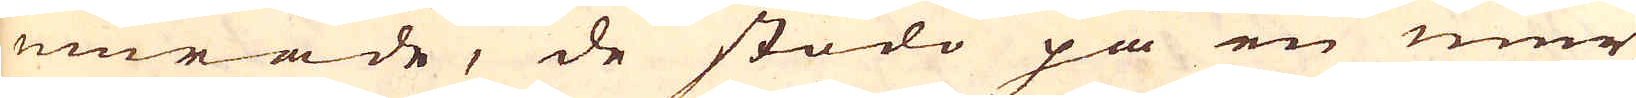murade, de stodo på en mur
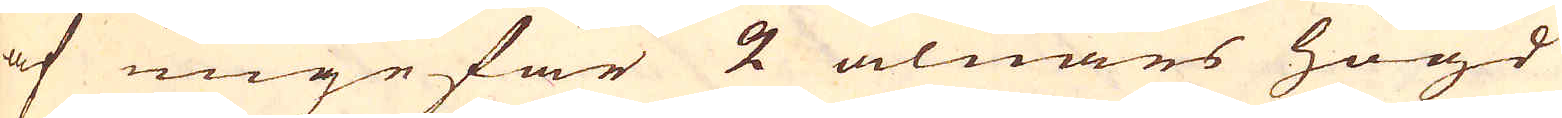af ungefär 2 alnars högd
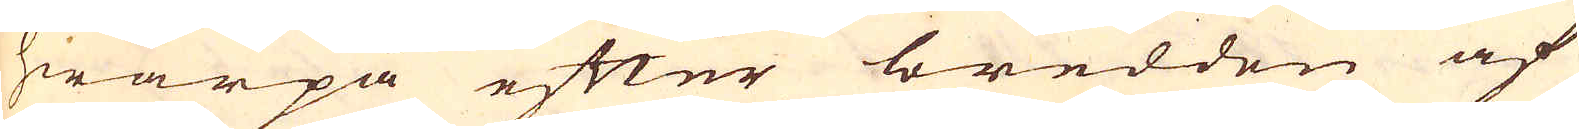hwarpå efter bredden af
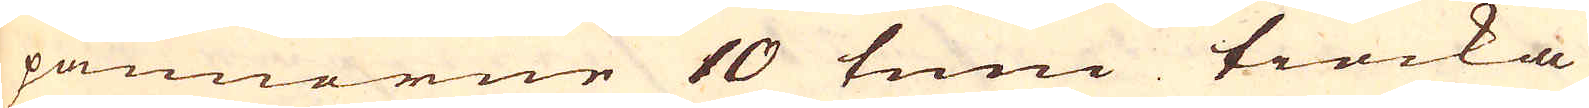pannorne 10 tum tiocka
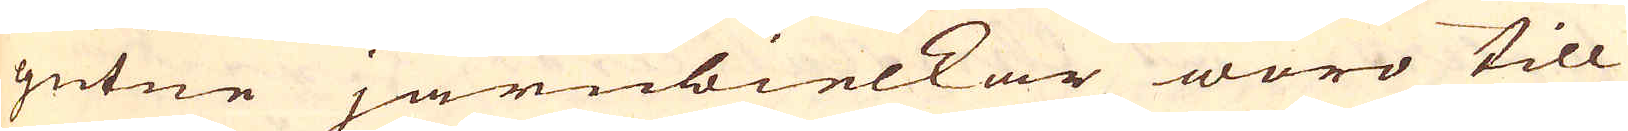gutne järnbielkar woro till
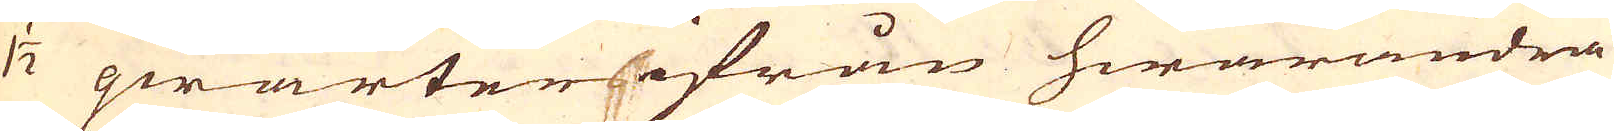1 1/2 qwarter ifrån hwarandra
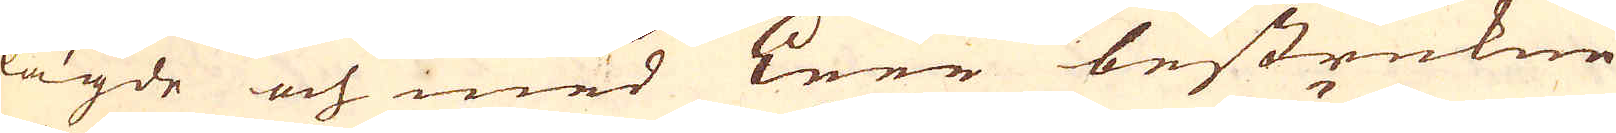lagde och med Leer bestrukne
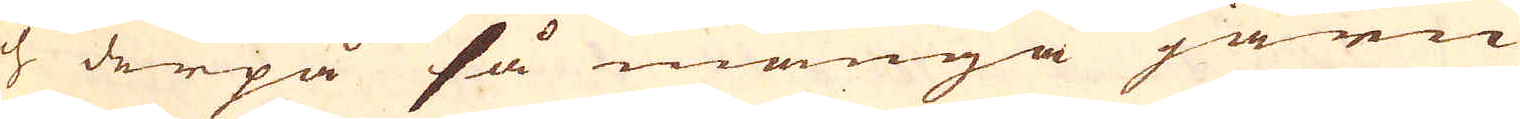och derpå så många järn
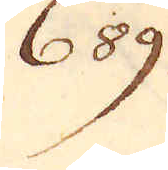689.
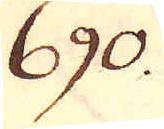690.
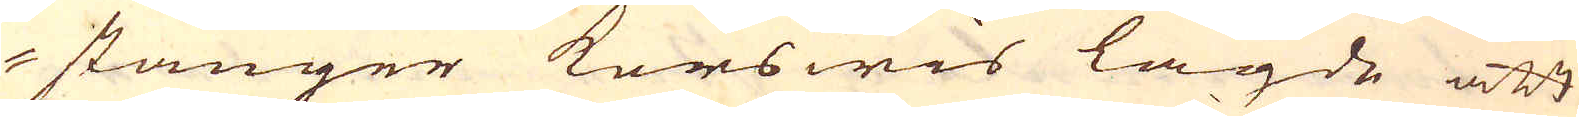stänger korswis lagde att
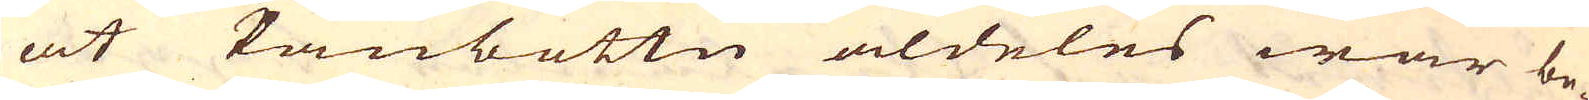at Panbottn aldeles war be-
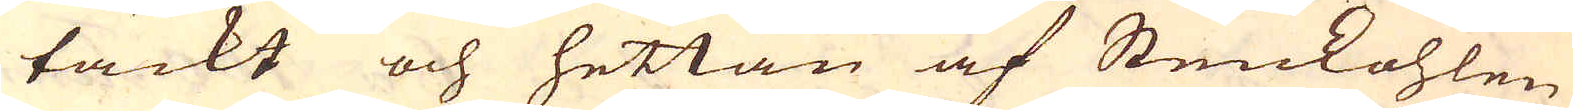täckt och hettan af Stenkohlen
